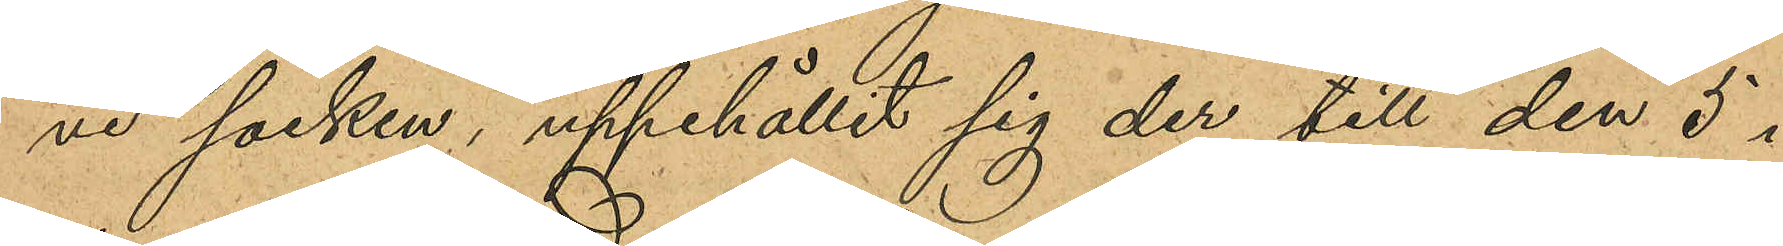ve socken, uppehållit sig der till den 5 i
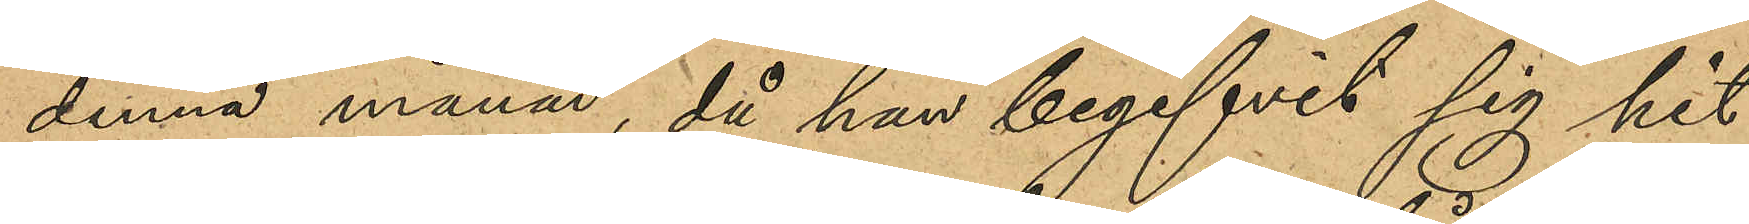denna månad, då han begifvit sig hit
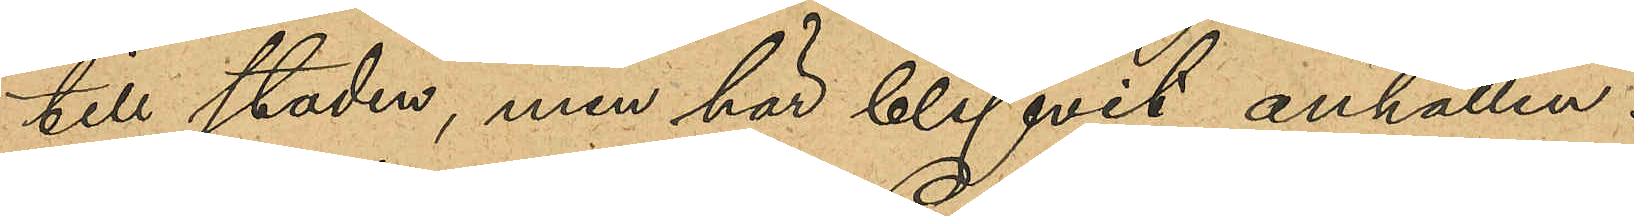till staden, men här blifvit anhållen.
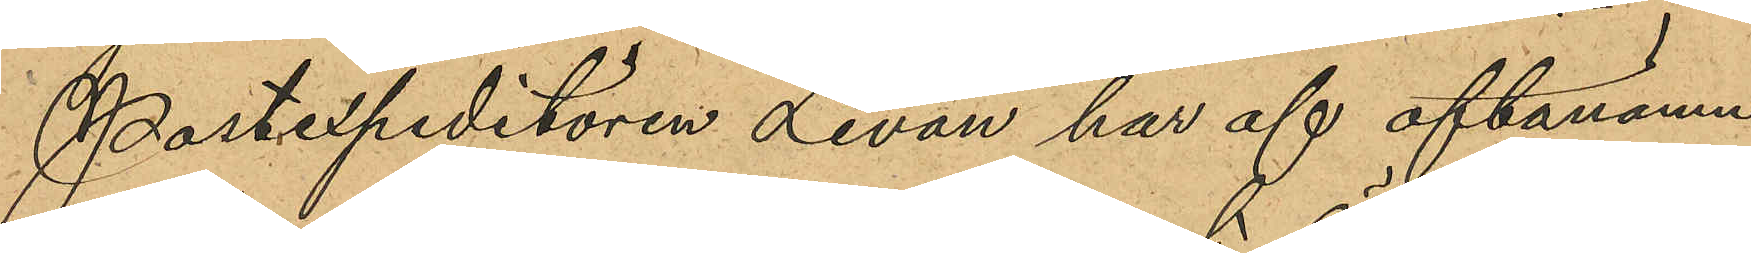Postexpeditören Levan har af oftanämn¬
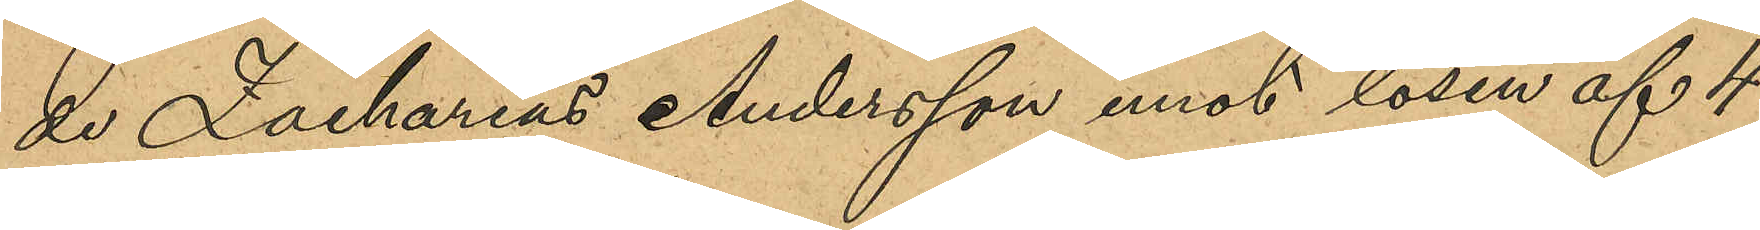de Zacharias Andersson, emot lösen af 4
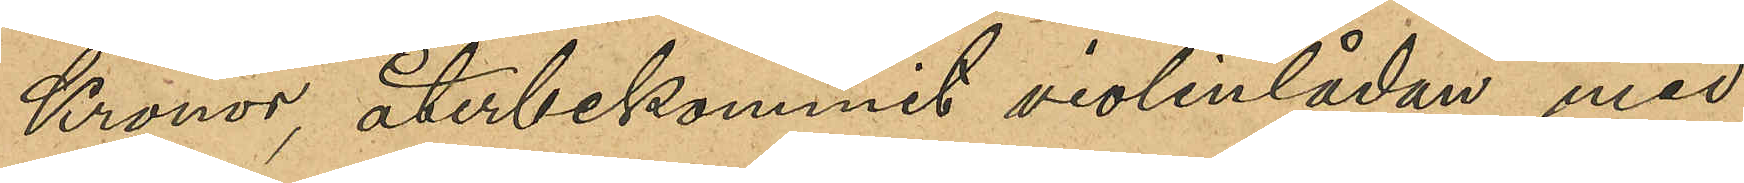Kronor, återbekommit violinlådan med
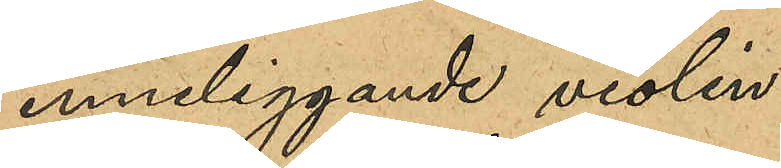inneliggande violin.
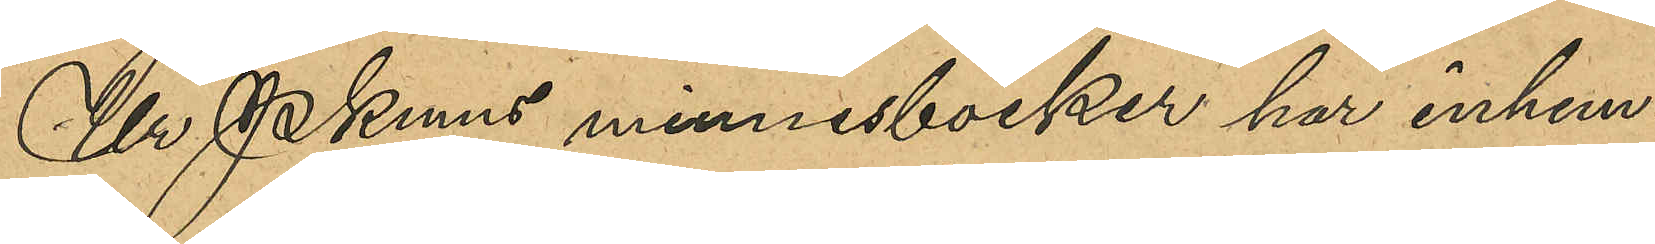Ur Pkmns minnesböcker har inhem¬
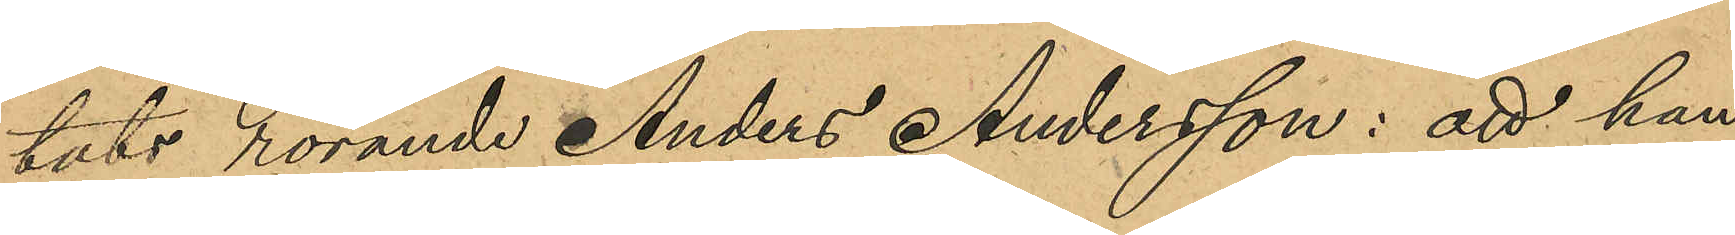tats rörande Anders Andersson: att han
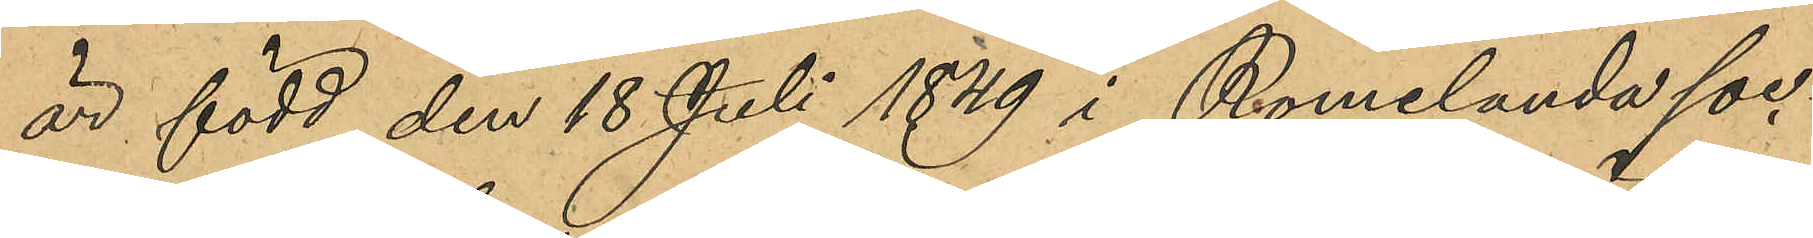är född den 18 Juli 1849 i Romelanda soc¬
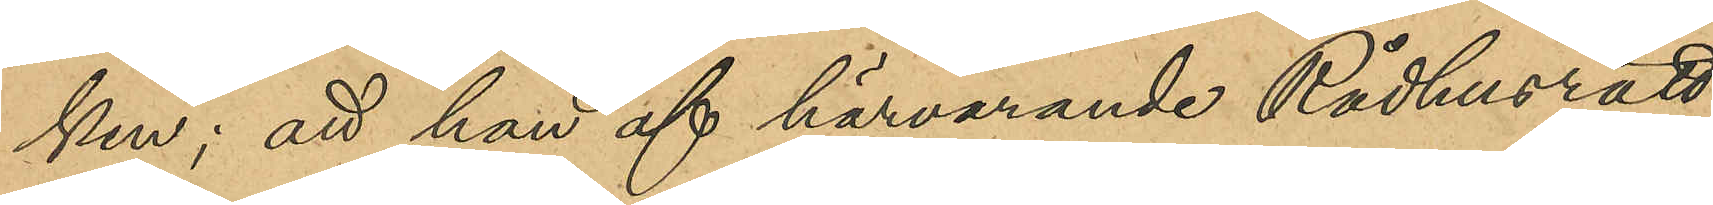ken; att han af härvarande Rådhusrätt
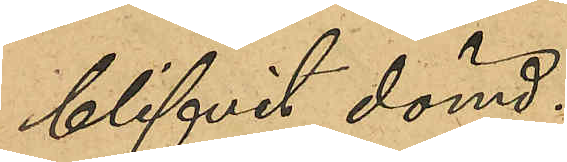blifvit dömd:
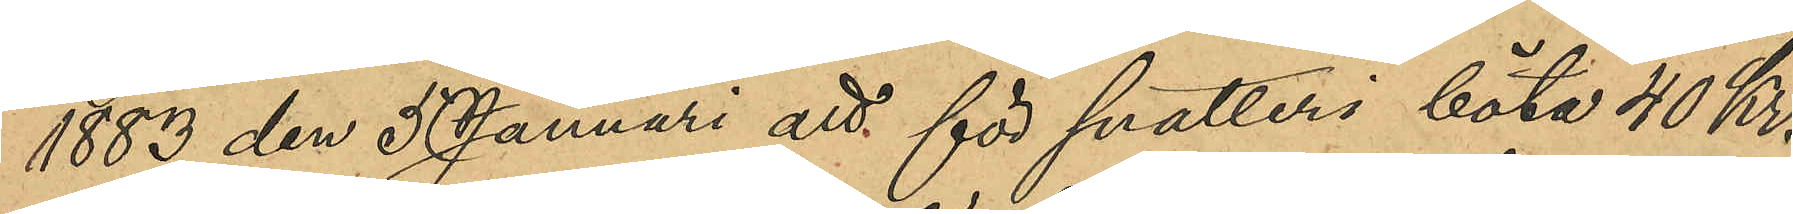1883 den 5 Januari att för snatteri böta 40 Kr.
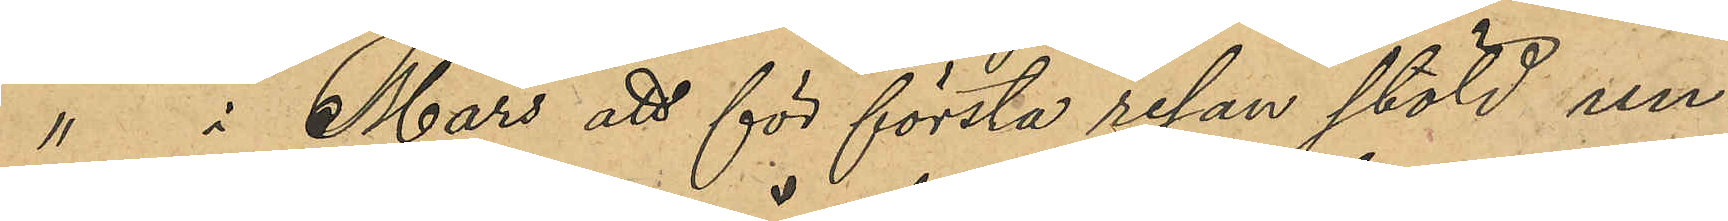" i Mars att för första redan stöld un¬
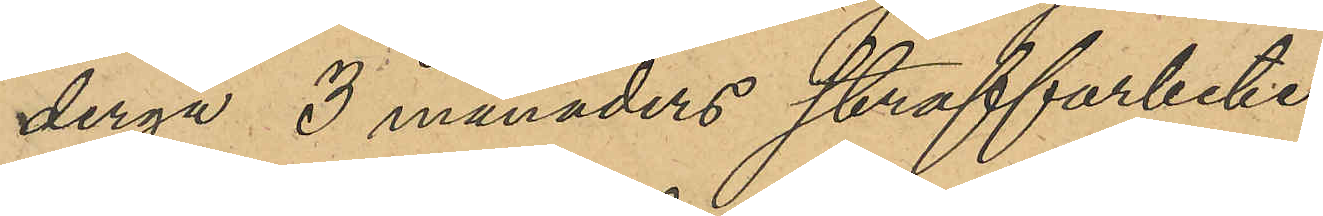dergå 3 månaders straffarbete,
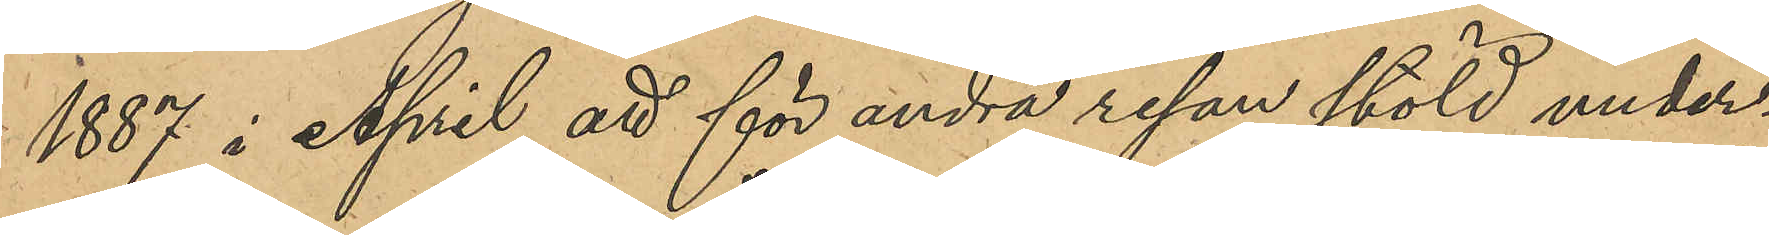1887 i April att för andra resan stöld under¬
